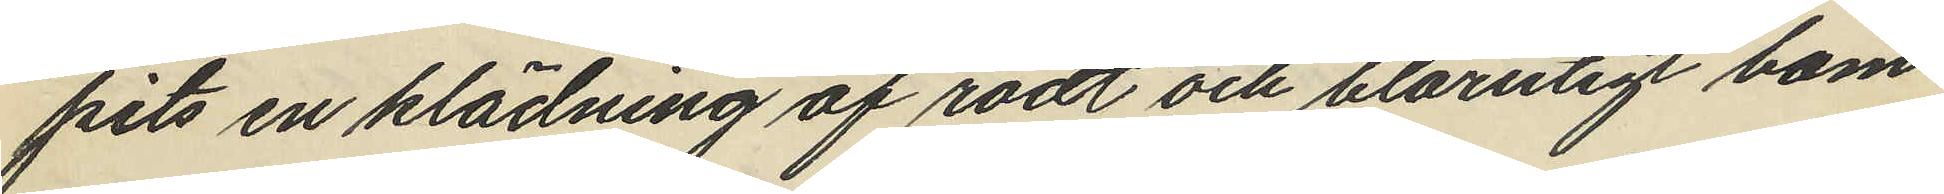pits en klädning af rödt och blårutigt bom¬
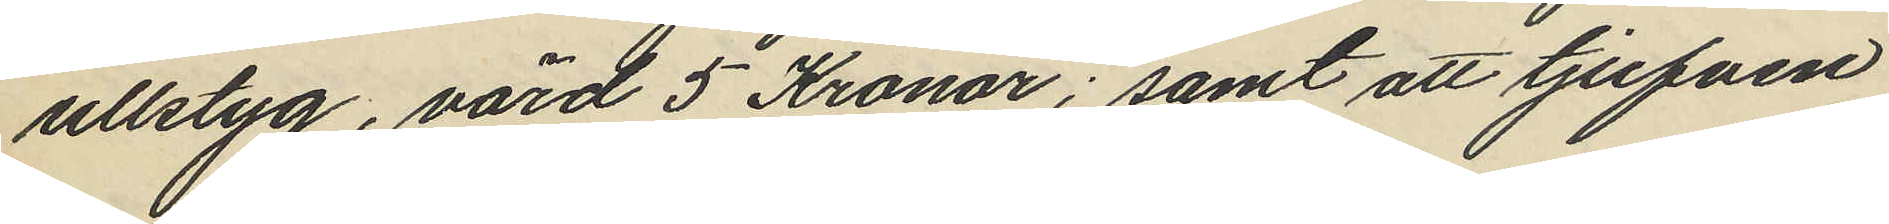ullstyg, värd 5 Kronor; samt att tjufven
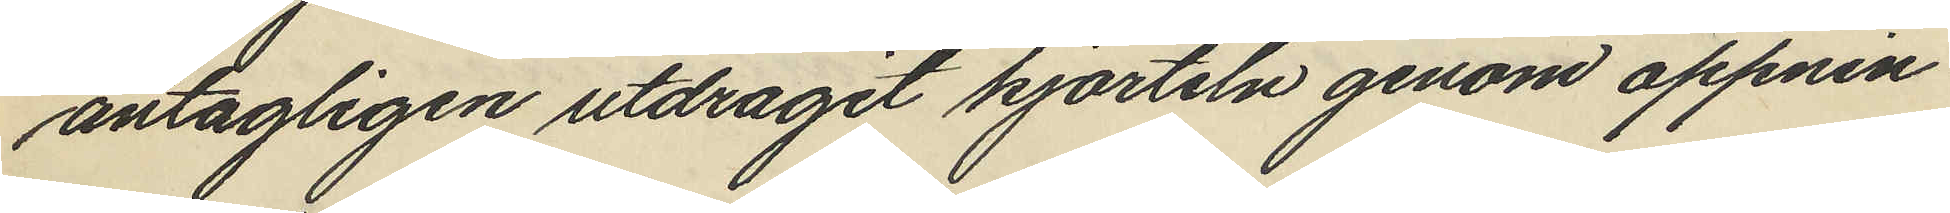antagligen utdragit kjorteln genom öppnin
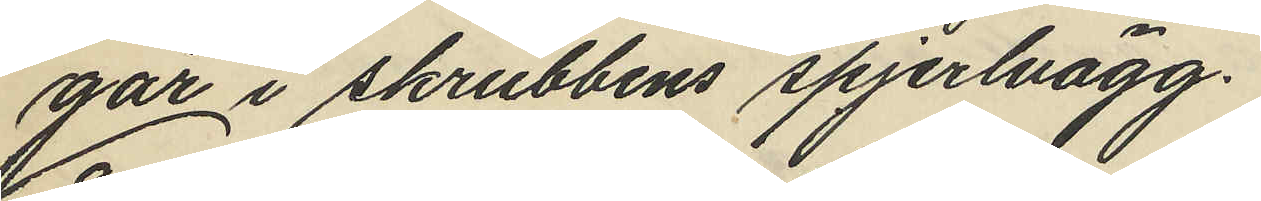gar i skrubbens spjerlvägg.
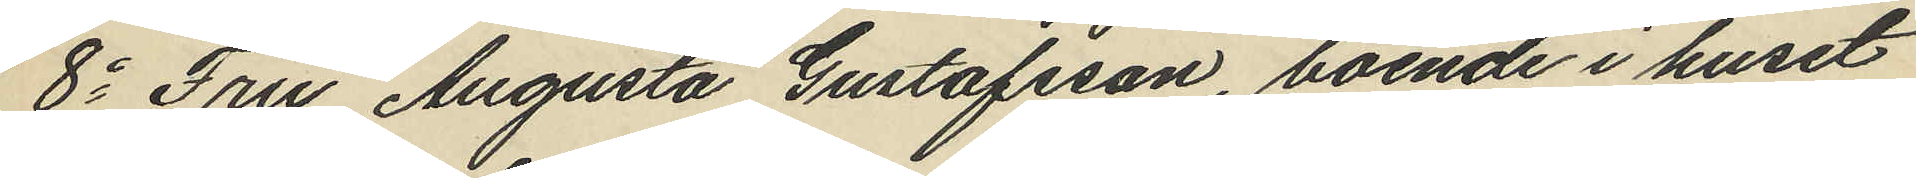8o Fru Augusta Gustafsson, boende i huset
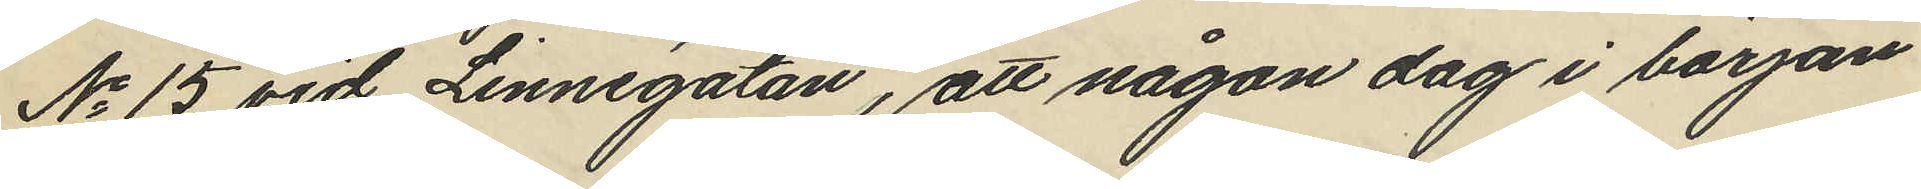No 15 vid Linnégatan, att någon dag i början
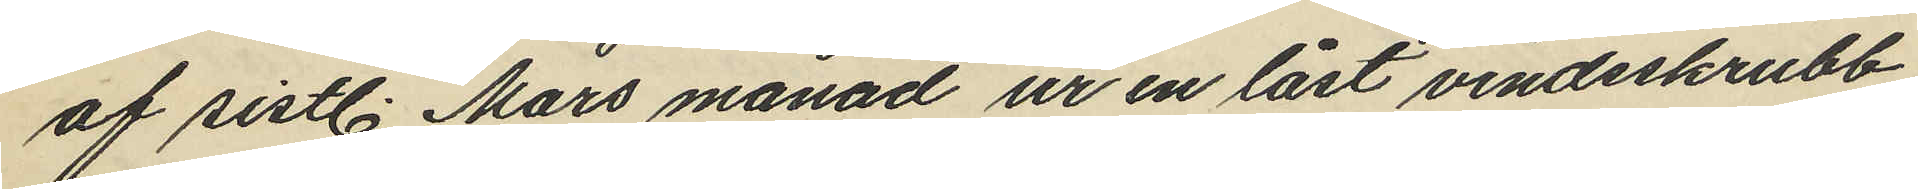af sistl. Mars månad ur en låst vindsskrubb
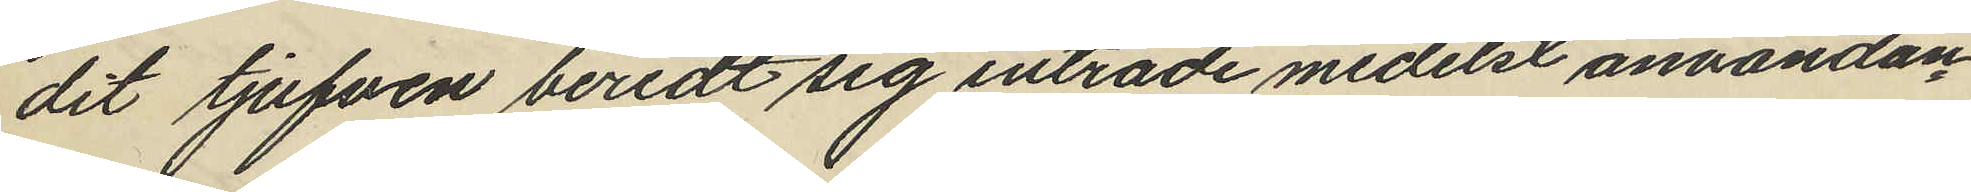dit tjufven beredt sig inträde medelst användan¬
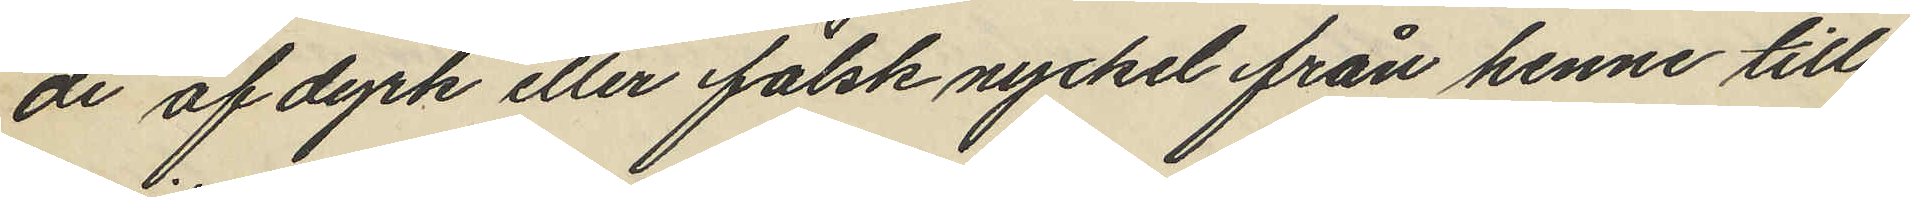de af dyrk eller falsk nyckel från henne till¬
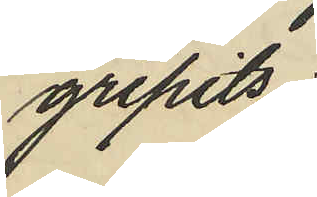gripits:
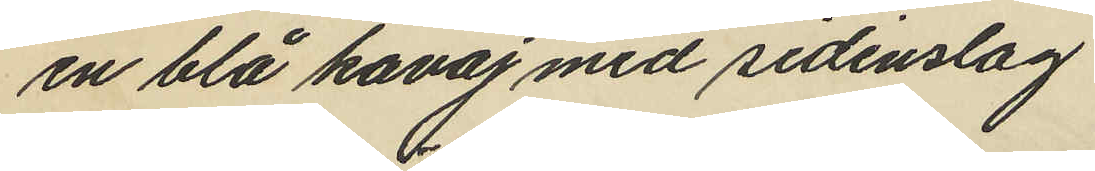en blå kavaj med sidenslag
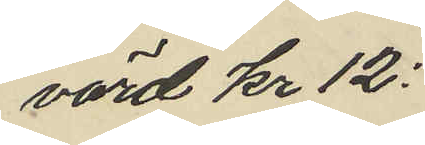värd Kr 12:
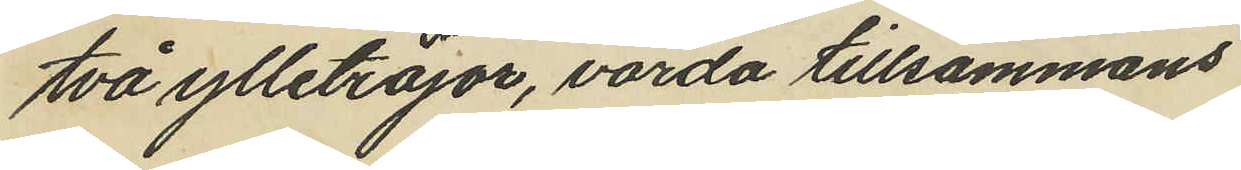två ylletröjor, värda tillsammans
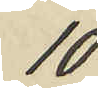10
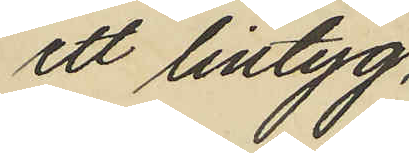ett lintyg,
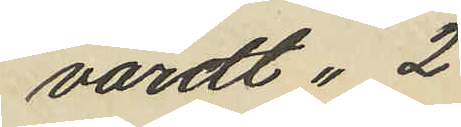värdt " 2
